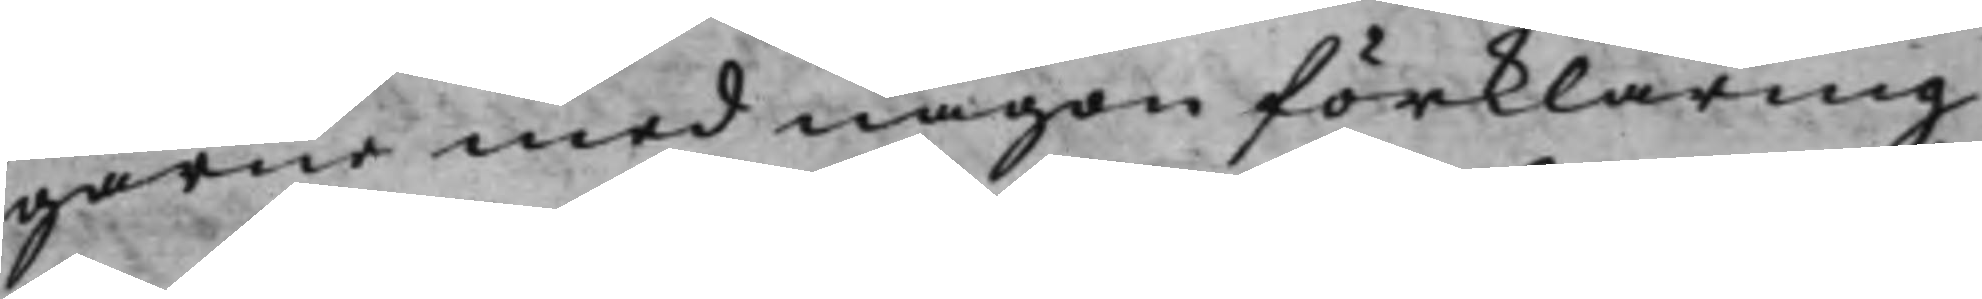garne med någon förklaring
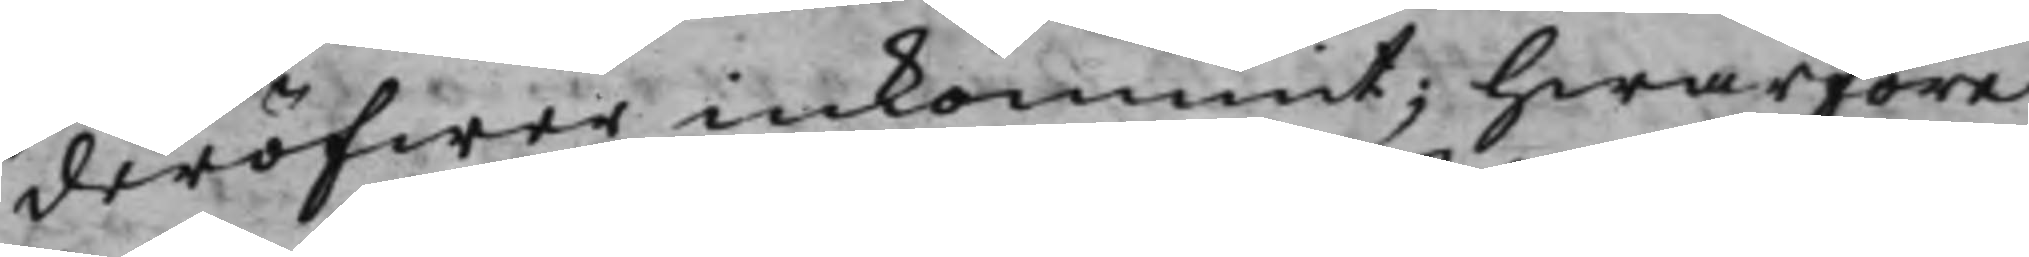deröfwer inkommit; hwarföre
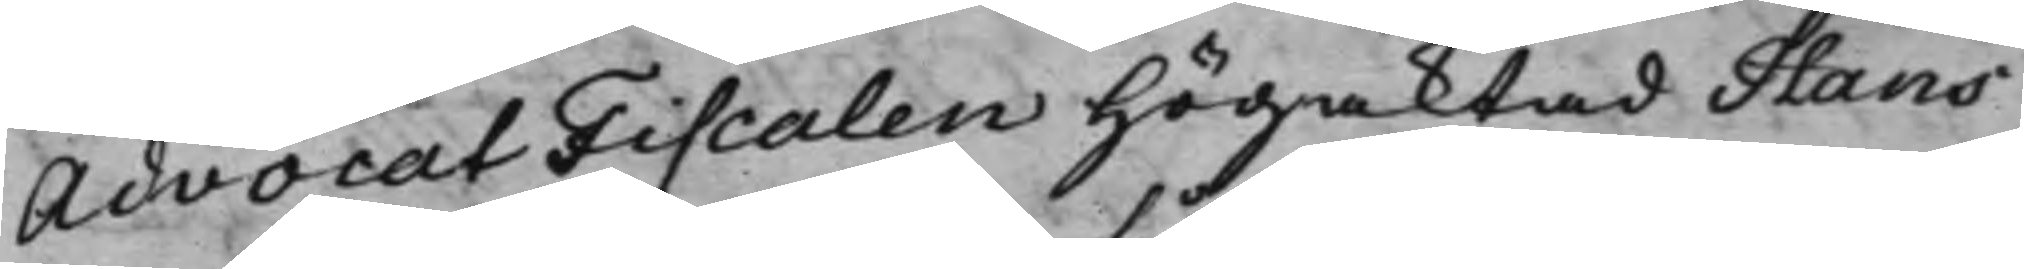AdvocatFiscalen Högaktad Hans
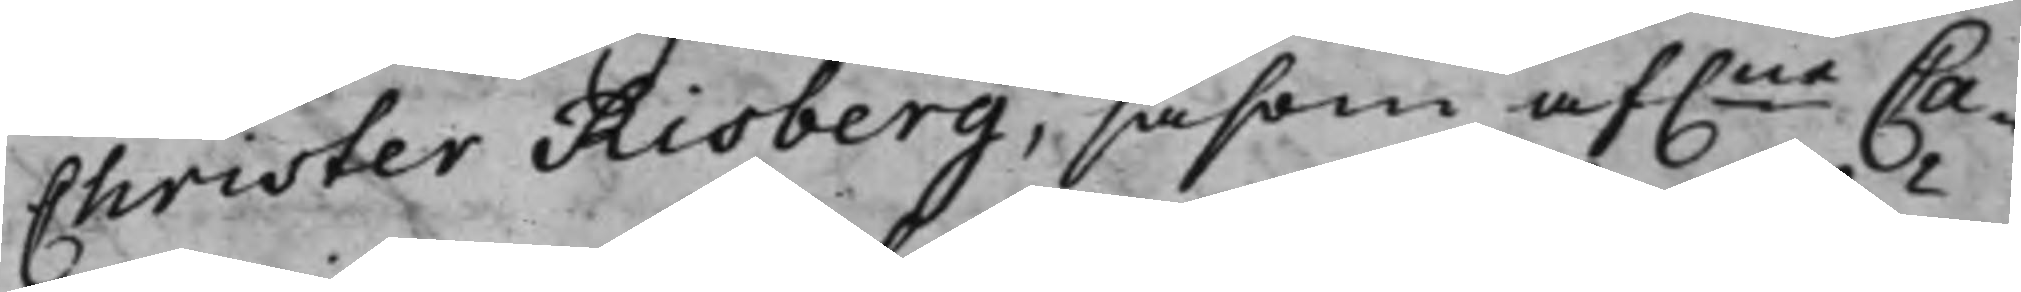Christer Risberg, såsom af.ne Ca¬
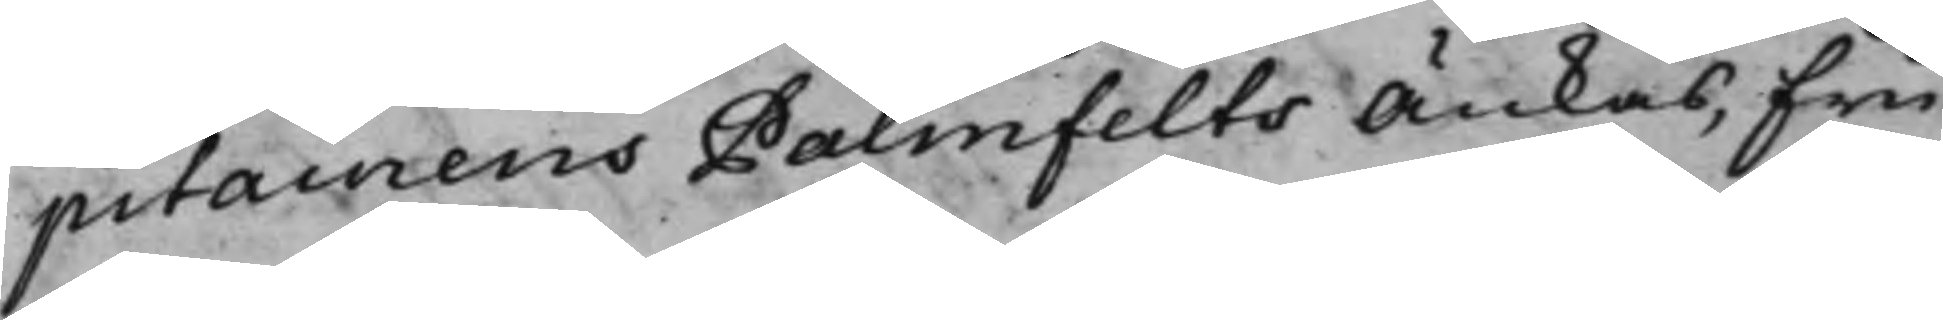pitainens Palmfelts Änkas, Fru
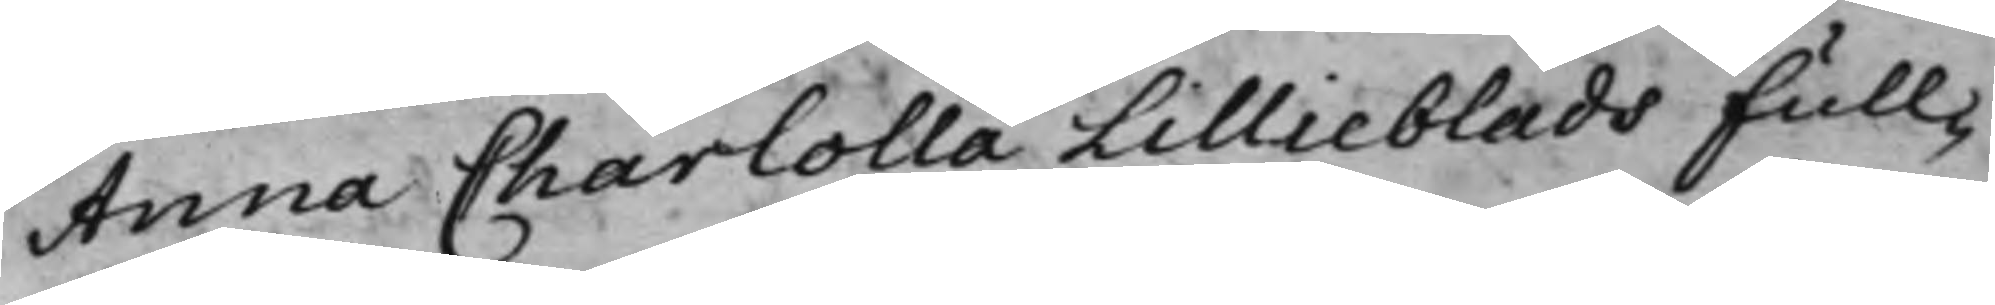Anna Charlotta Lillieblads full¬
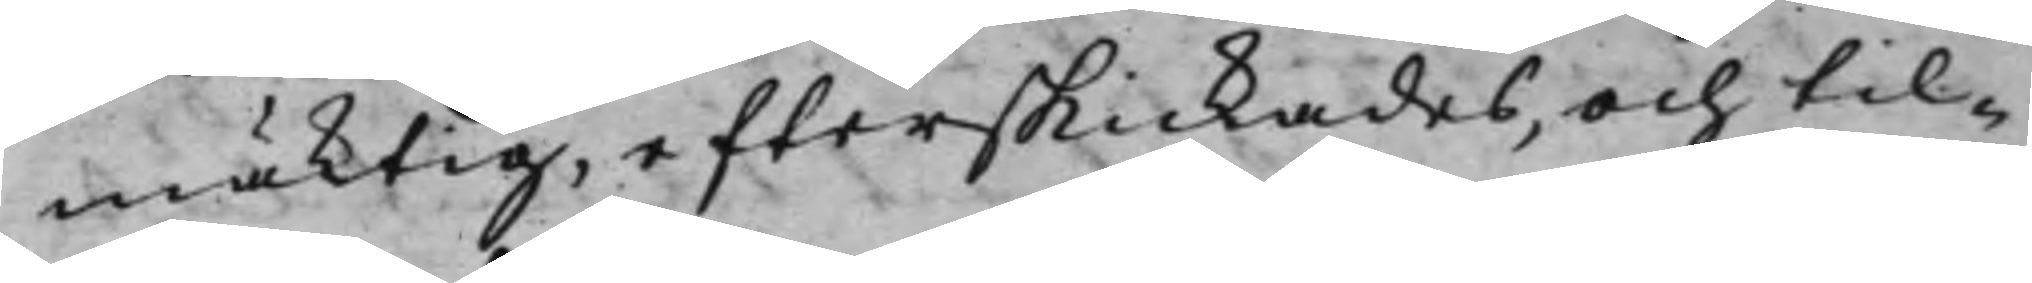mäktig, efterskickades, och til¬
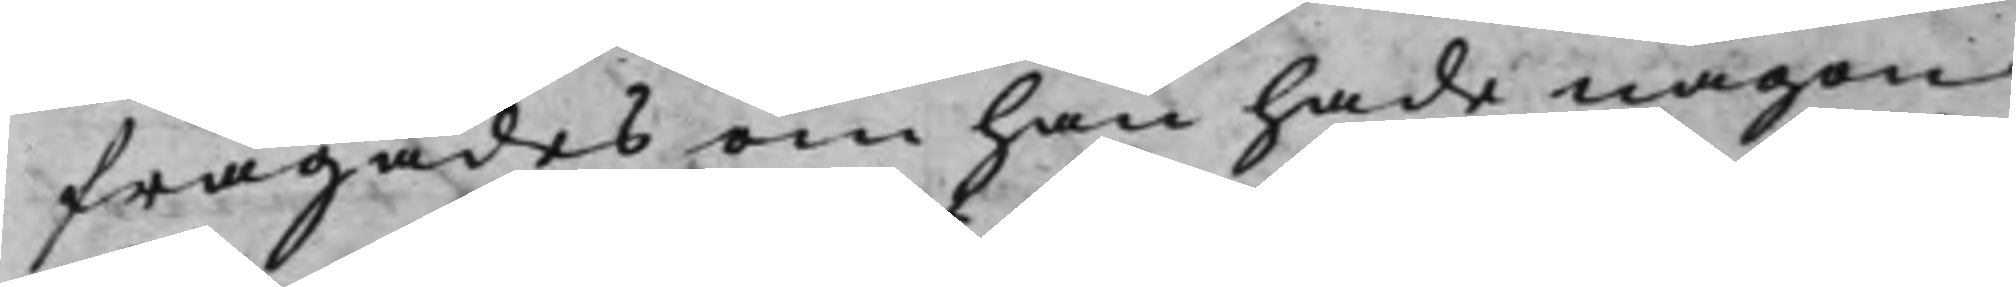frågades om han hade någon
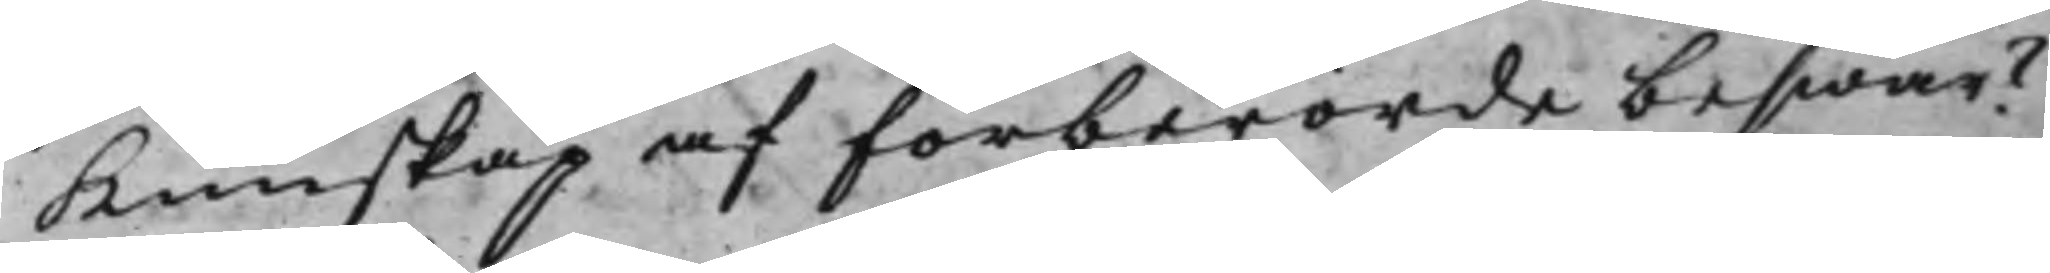Kunskap af förberörde beswär?
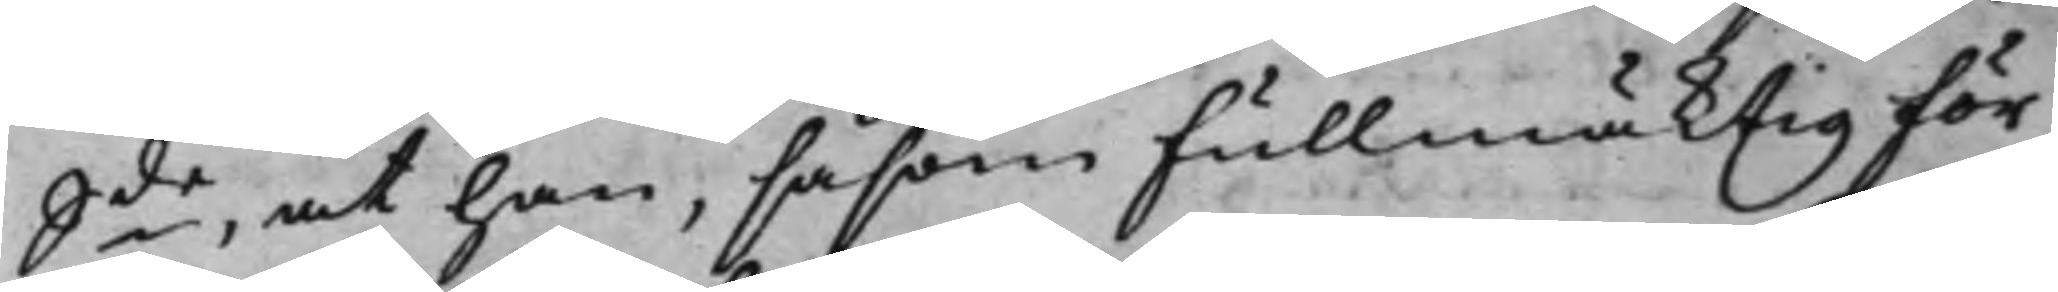S:de, at han, såsom Fullmäktig för
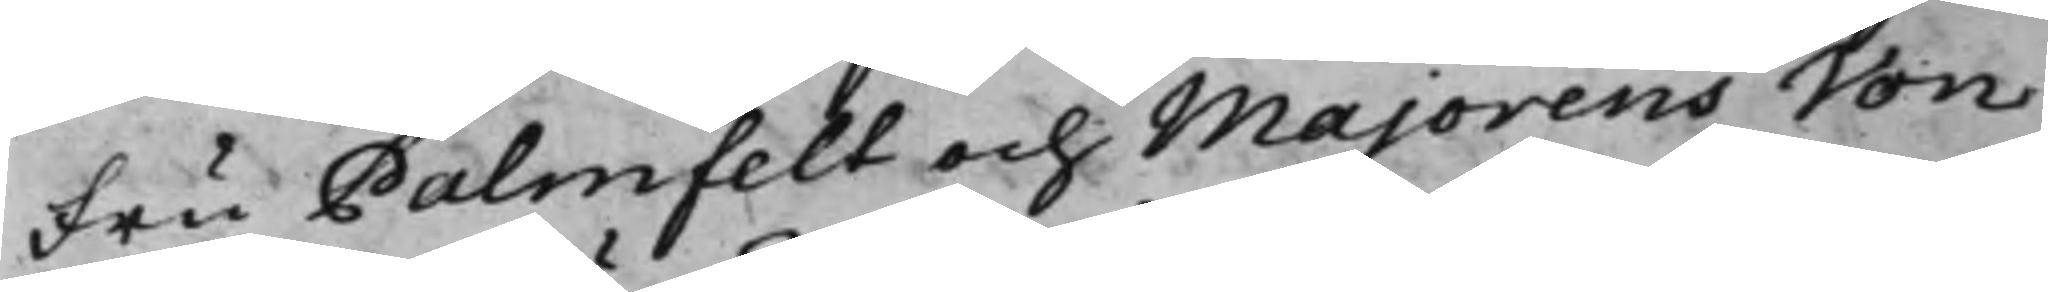Fru Palmfelt och Majorens Von
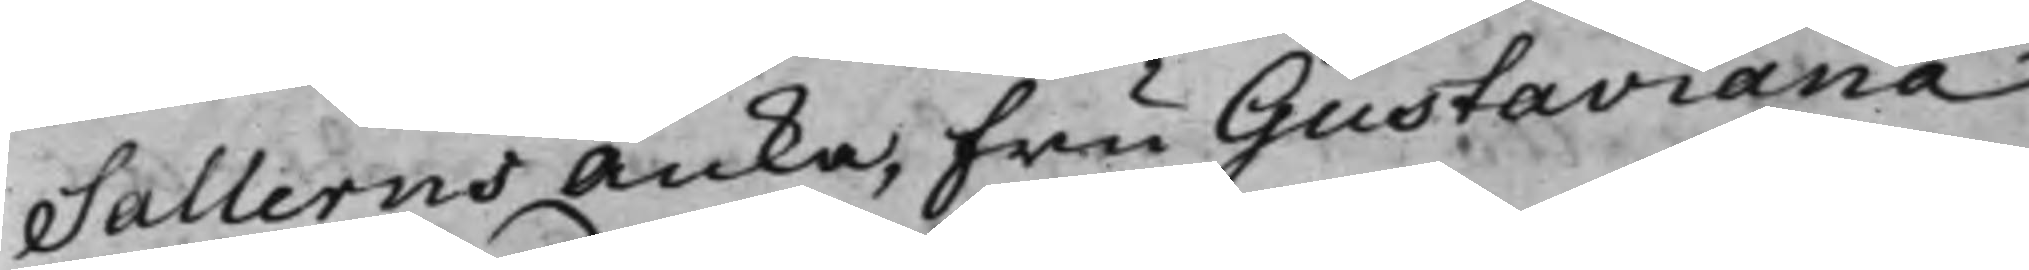Sallerns Änka, Fru Gustaviana
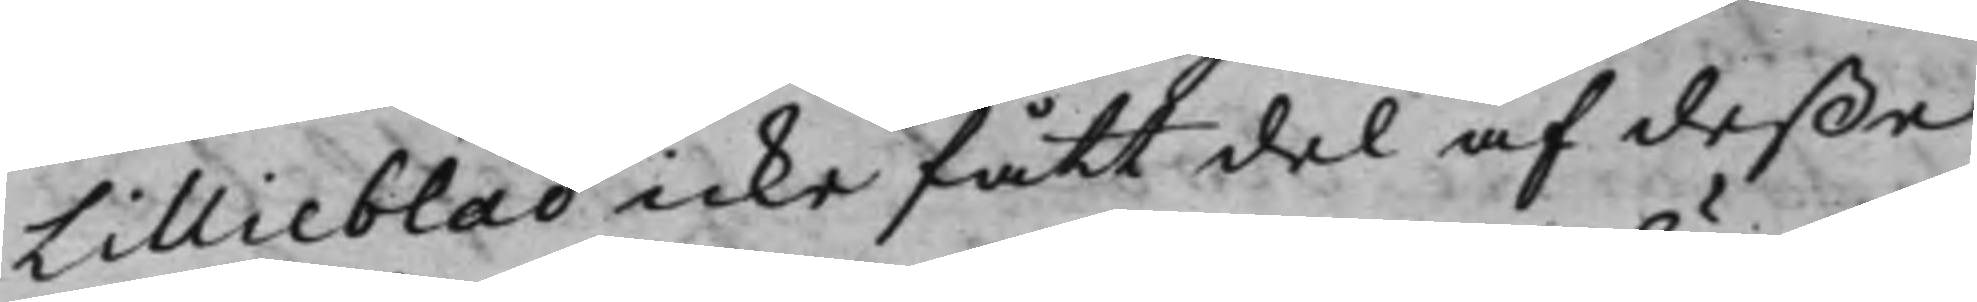Lillieblad icke fått del af deße
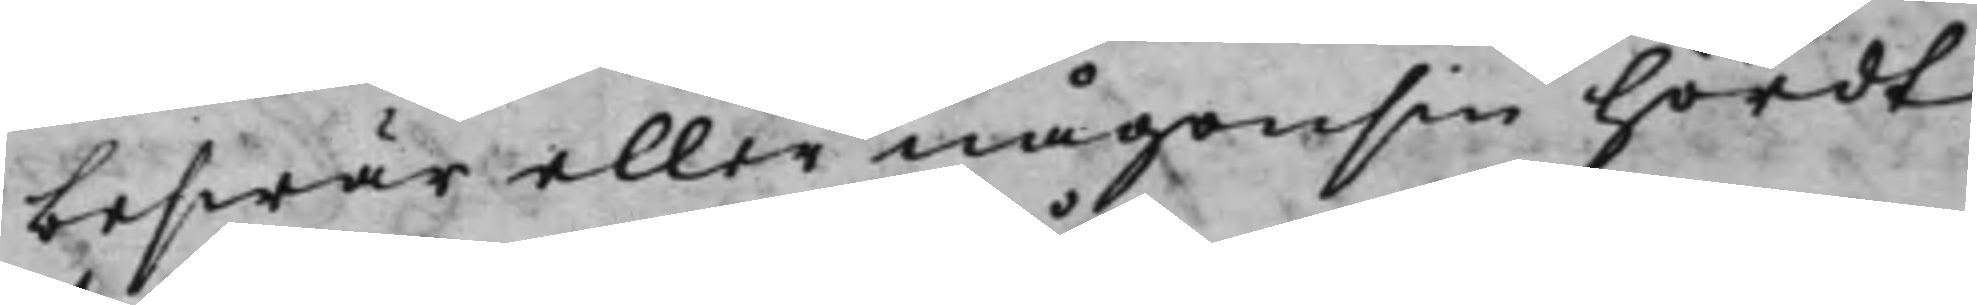beswär eller någonsin hördt
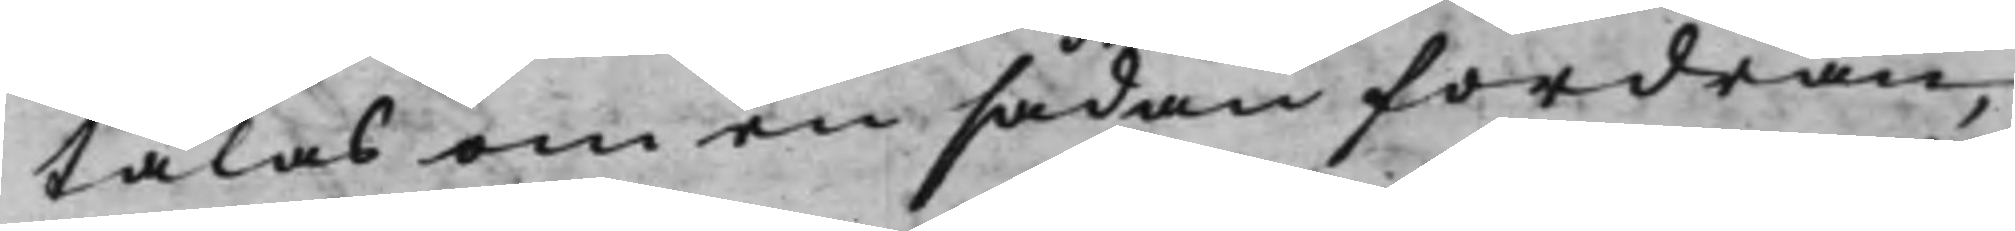talas om en sådan fordran,
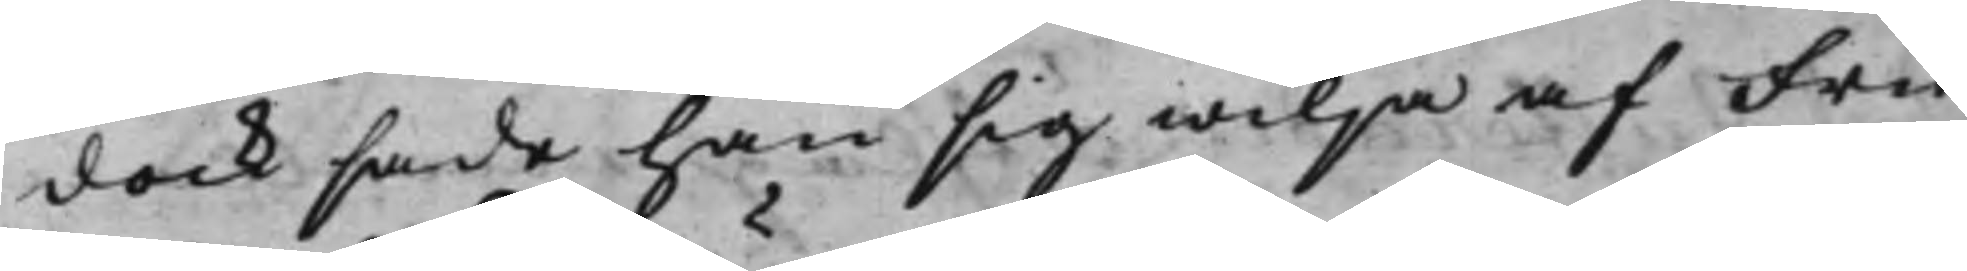dock sade han sig wilja af Fru
